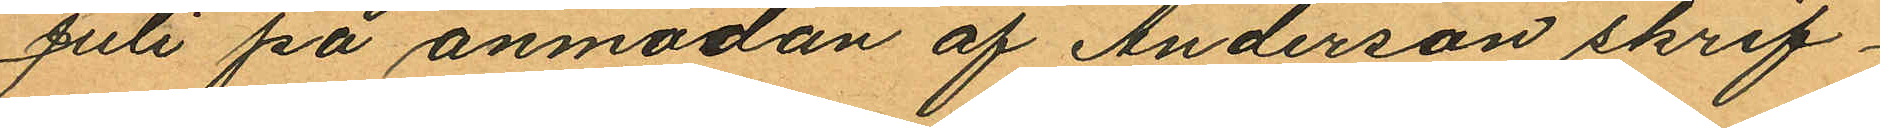Juli på anmodan af Anderson skrif¬
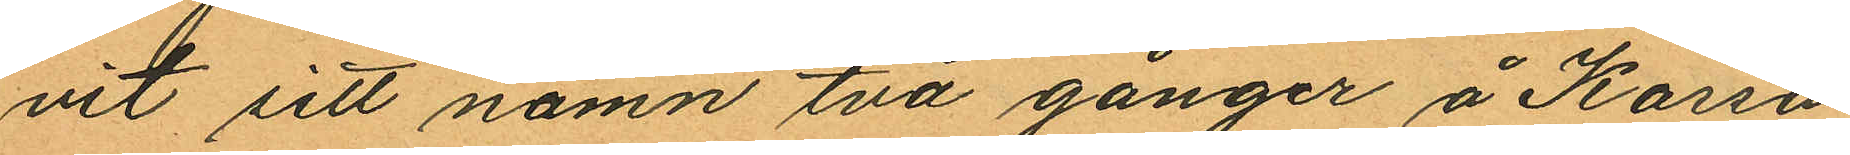vit sitt namn två gånger å Kassa
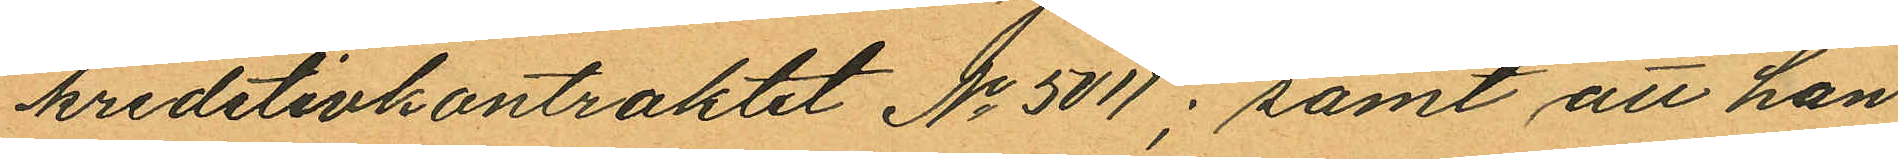kredetivkontraktet No 5011; samt att han
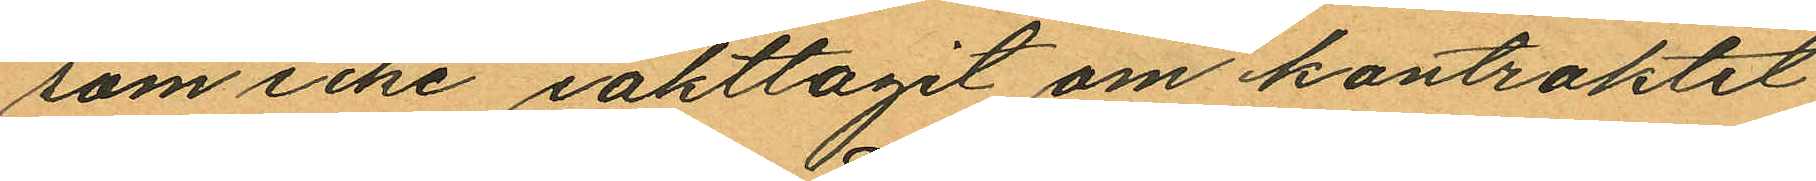som icke iakttagit om kontraktet
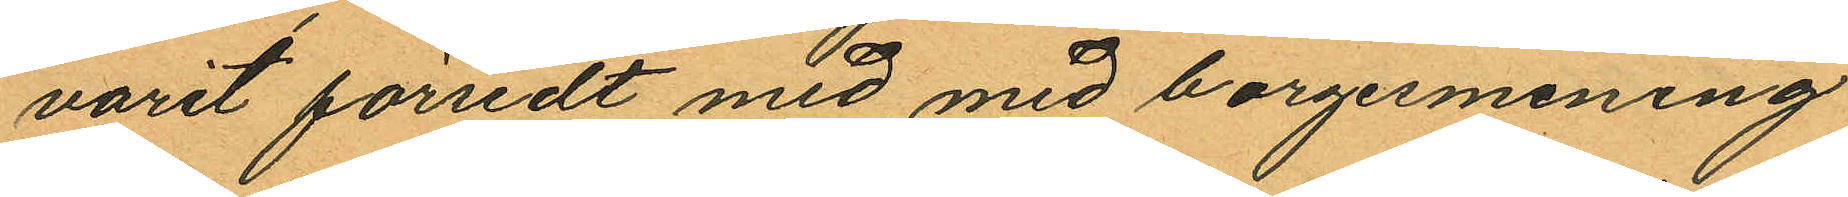varit försedt med med borgesmening
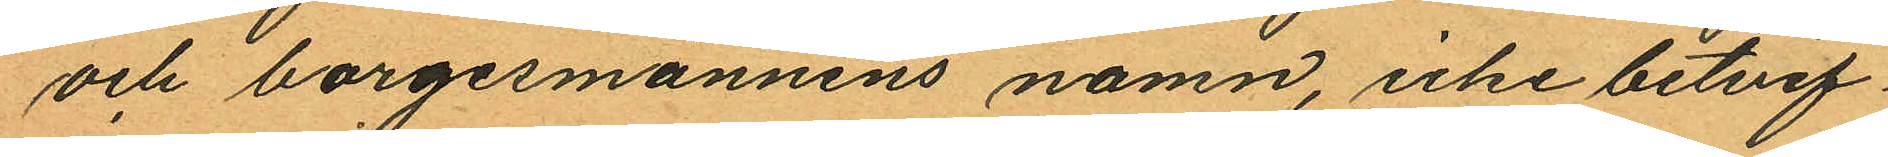och borgesmännens namn, icke betvif¬
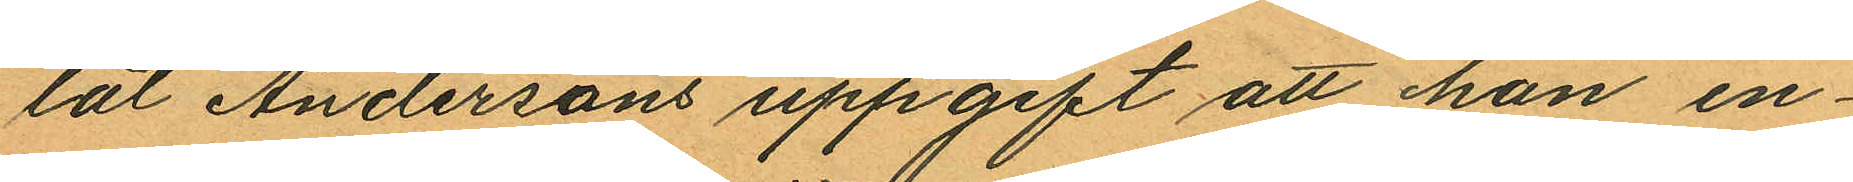lat Andersons uppgift att han en¬
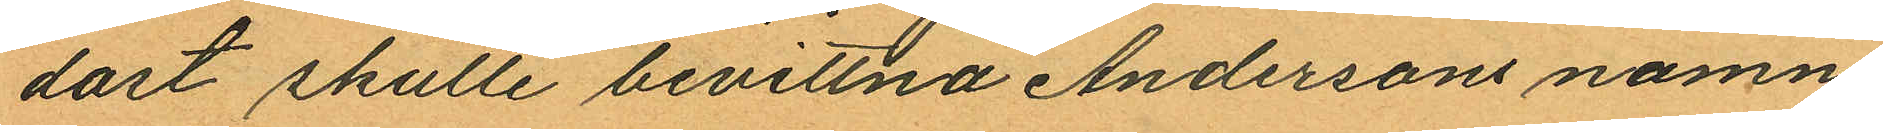dast skulle bevittna Andersons namn¬
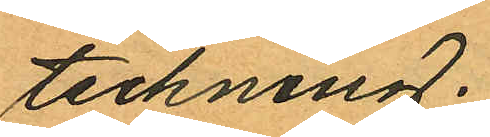teckning.
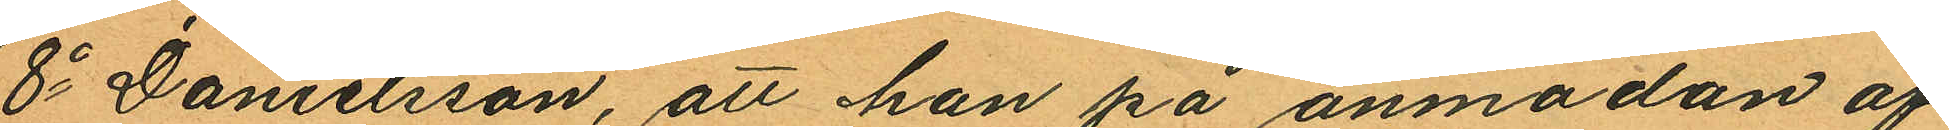8o Danielsson, att han på anmodan af
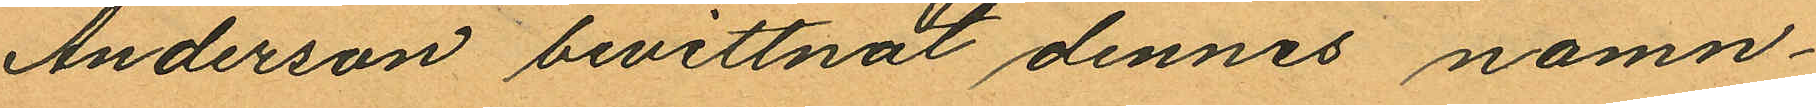Anderson bevittnat dennes namn¬
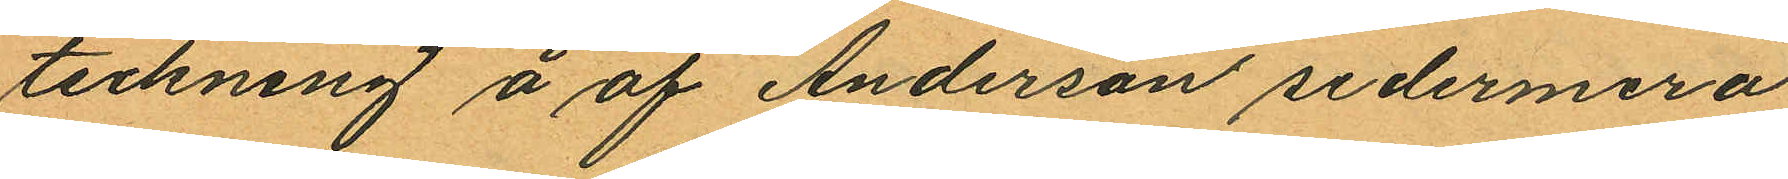teckning å af Anderson sedermera
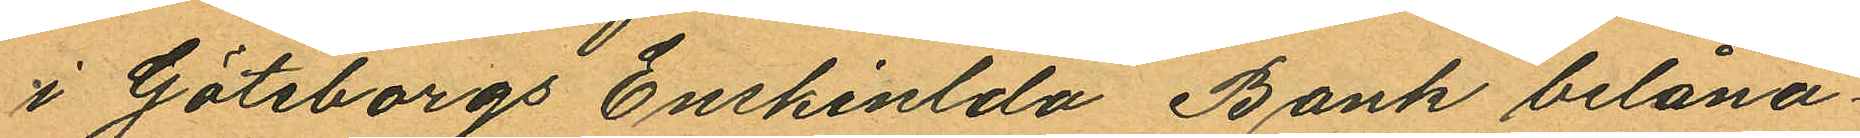i Göteborgs Enskinlda Bank belåna
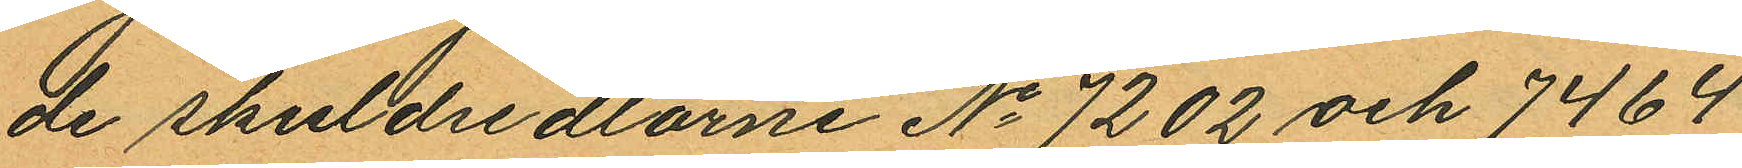de skuldsedlarne No 7202 och 7464
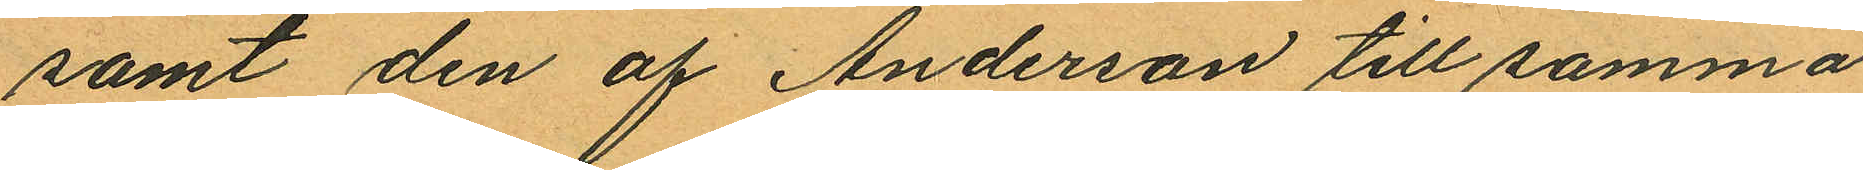samt den af Anderson till samma
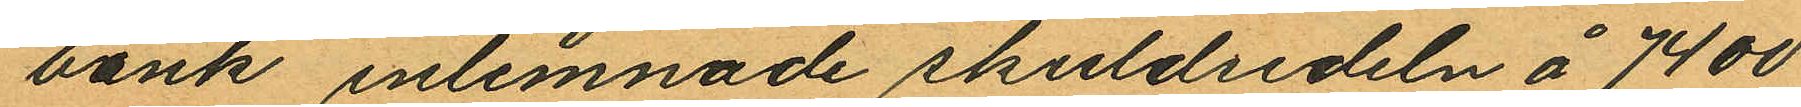bank inlemnade skuldsedeln å 7400
